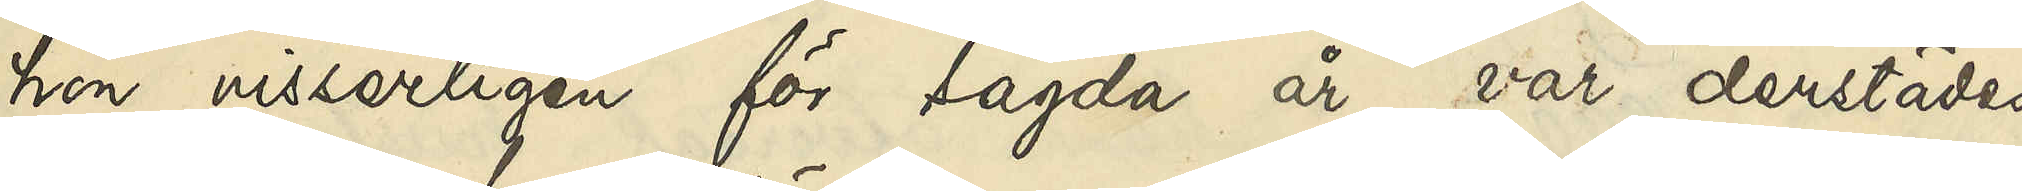hon visserligen för sagda år var derstädes
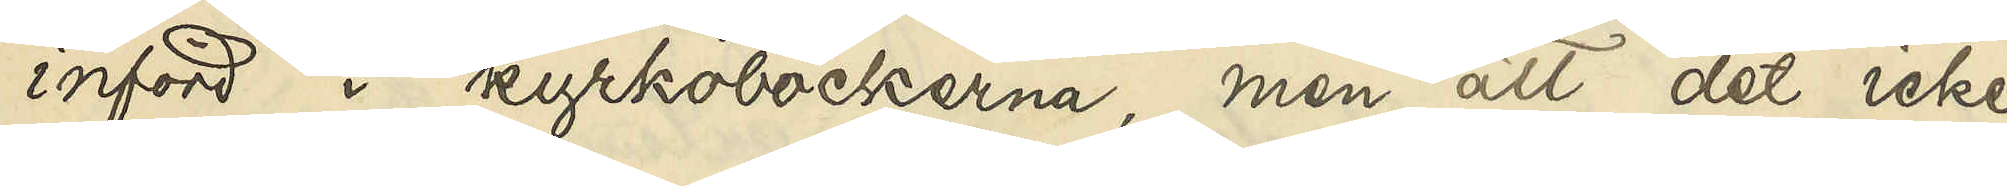införd i kyrkoböckerna, men att det icke
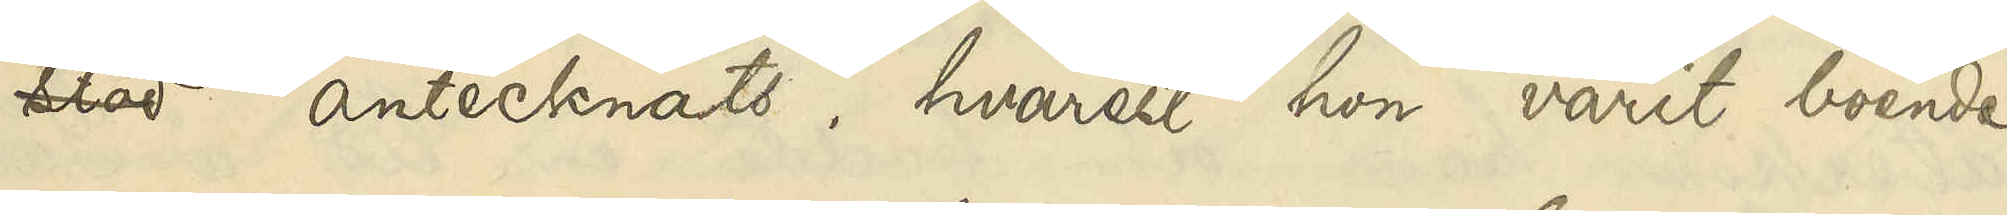stod antecknats, hvarest hon varit boende.
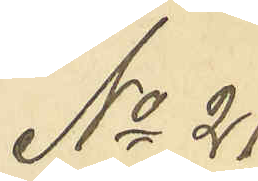No 21
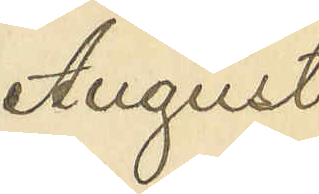August
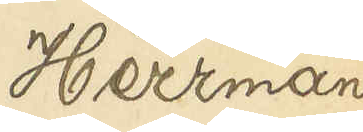Herrman
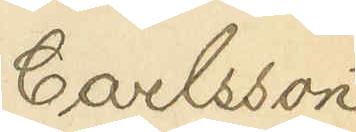Carlsson
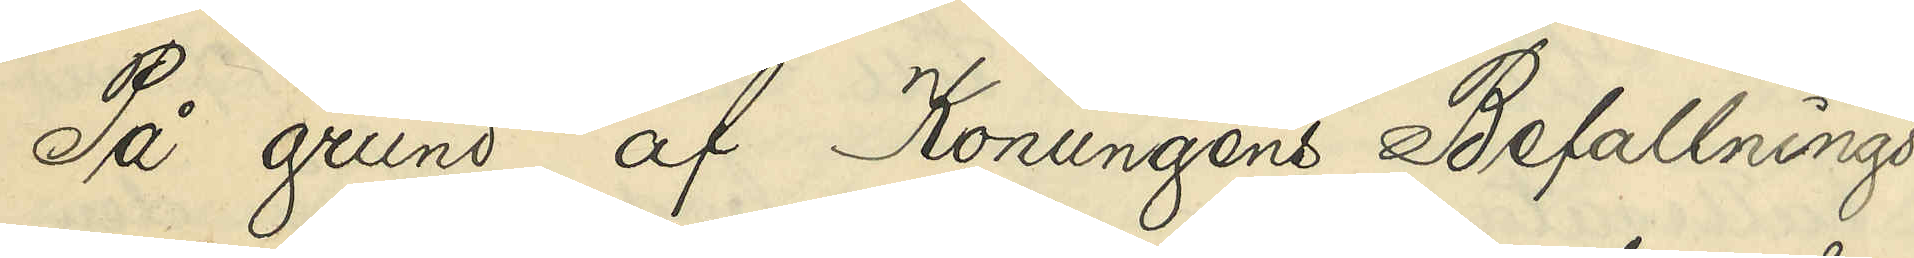På grund af Konungens Befallnings¬
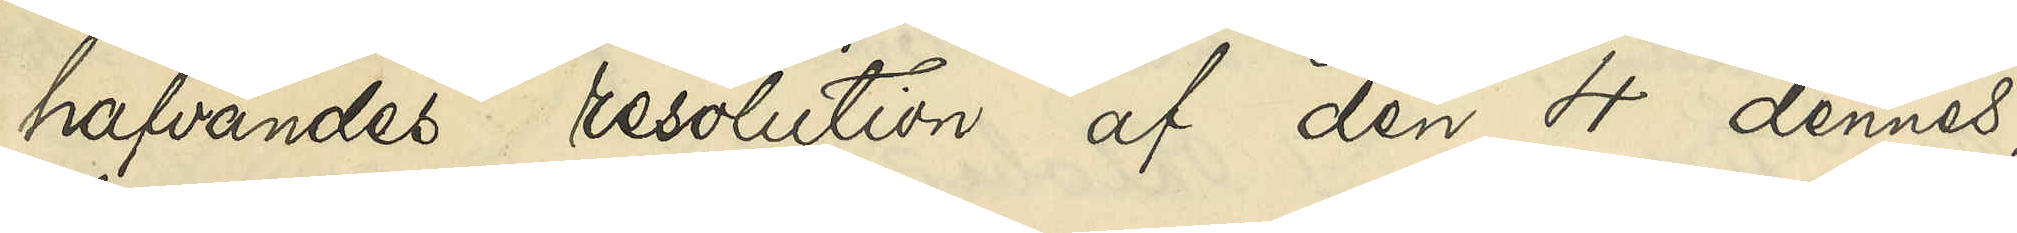hafvandes resolution af den 4 dennes,
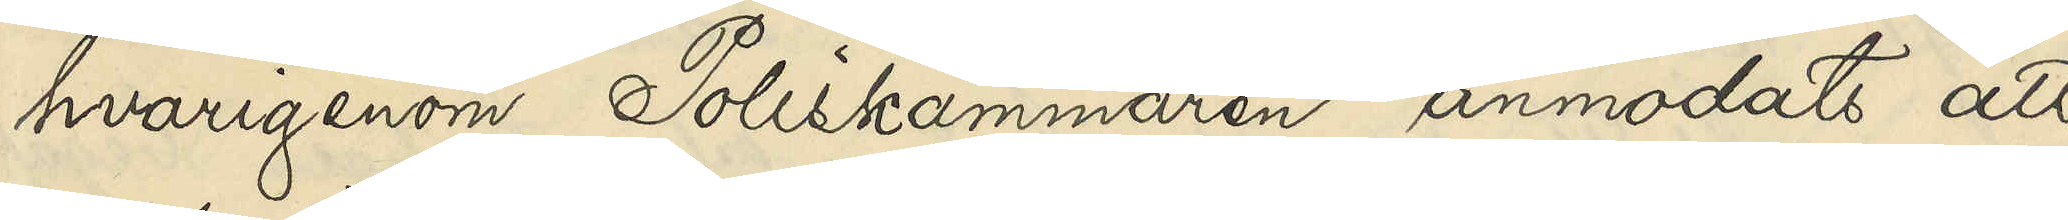hvariegenom Poliskammaren anmodats att
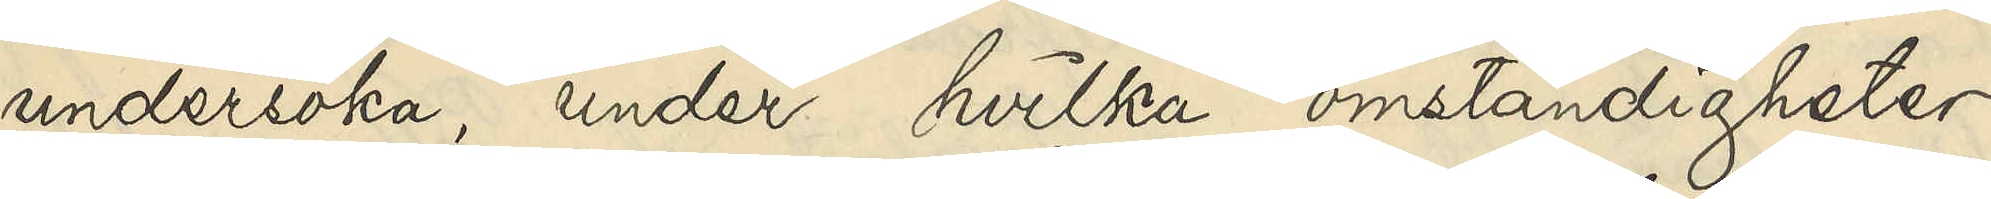undersöka, under hvilka omständigheter
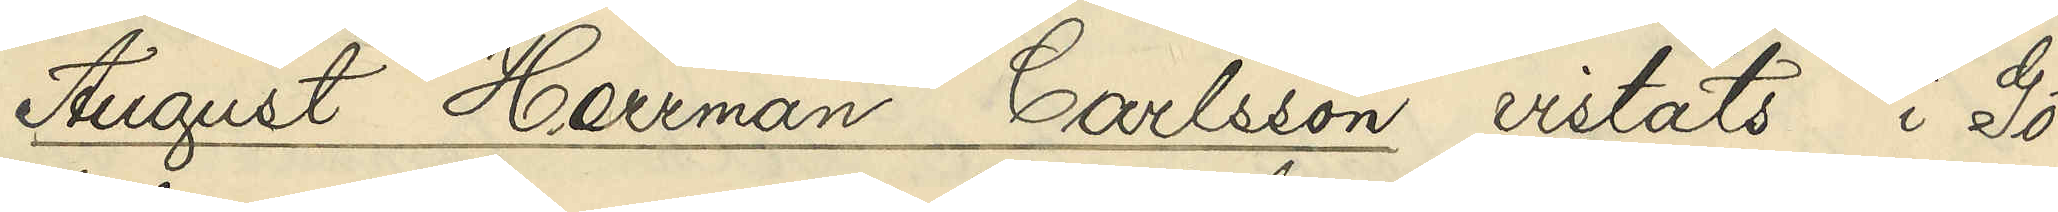August Herrman Carlsson vistats i Gö¬
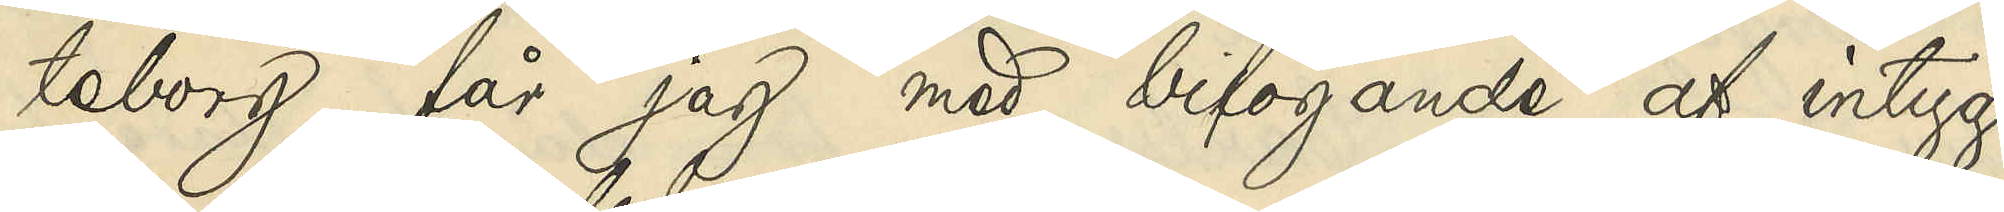teborg, får jag med bifogande af intyg
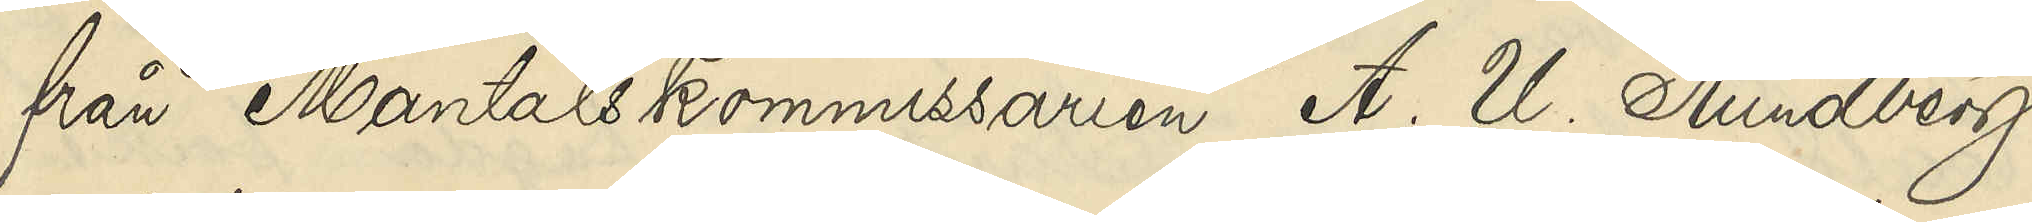från Mantalskommissarien A. U. Rundberg
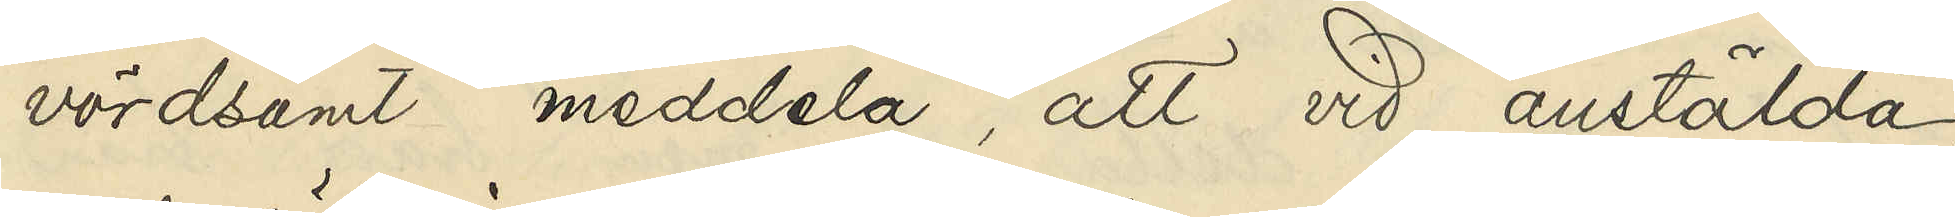vördsamt meddela, att vid anstälda
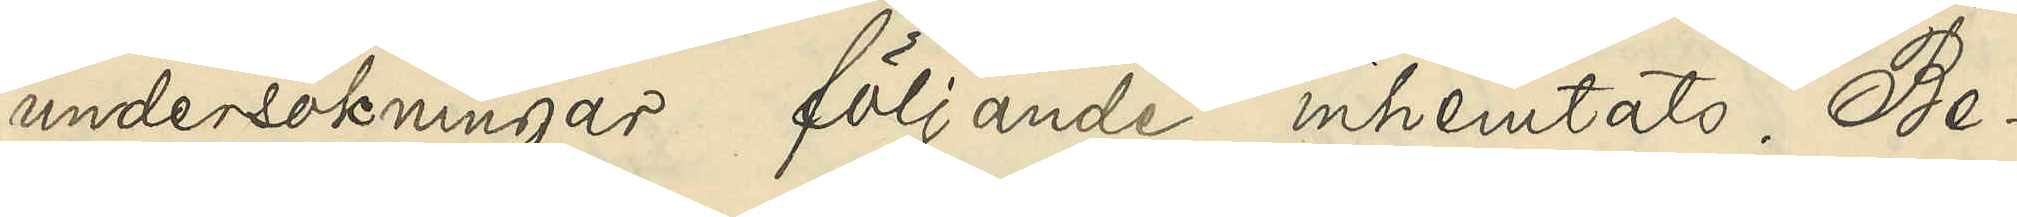undersökningar följande inhemtats. Be¬
